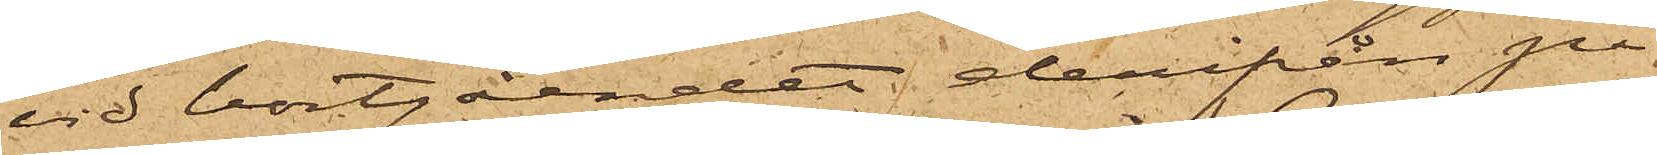vid bortgåendet derifrån på
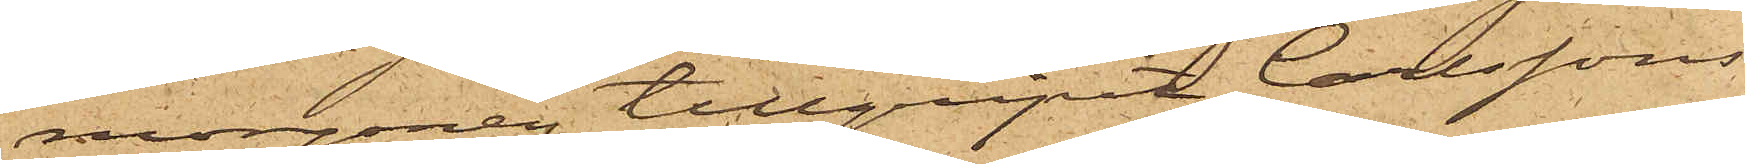morgonen tillgripit Carlssons
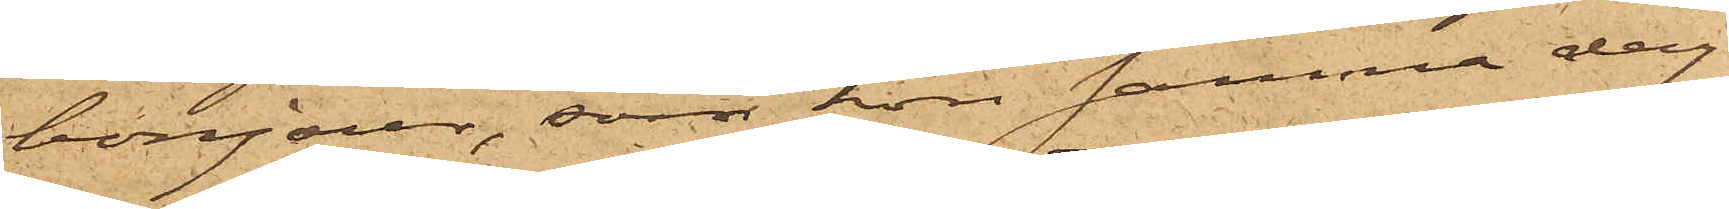bonjour, som hon samma dag
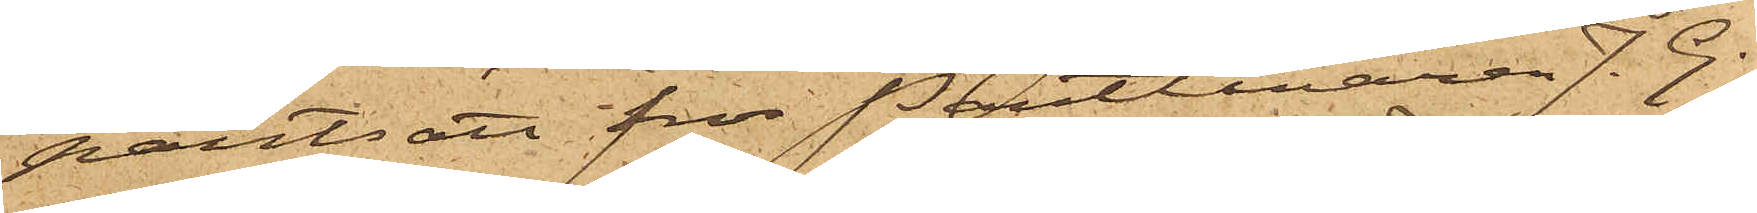pantsatt för Pantlånaren J. G.
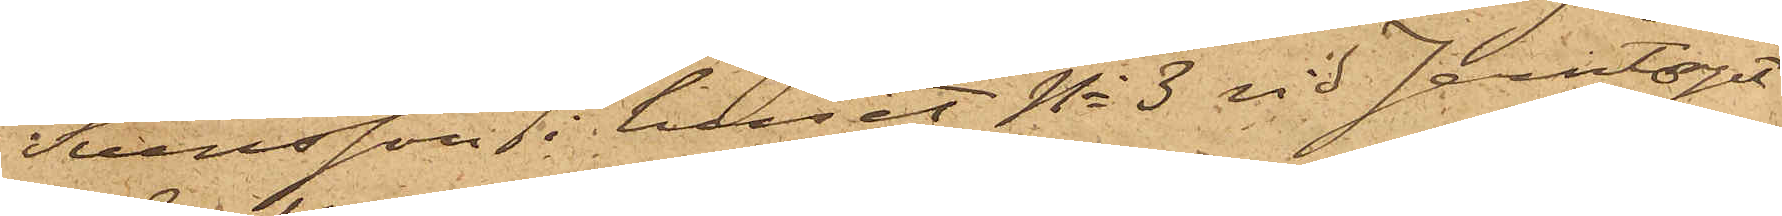Svensson i huset No 3 vid Jerntorget
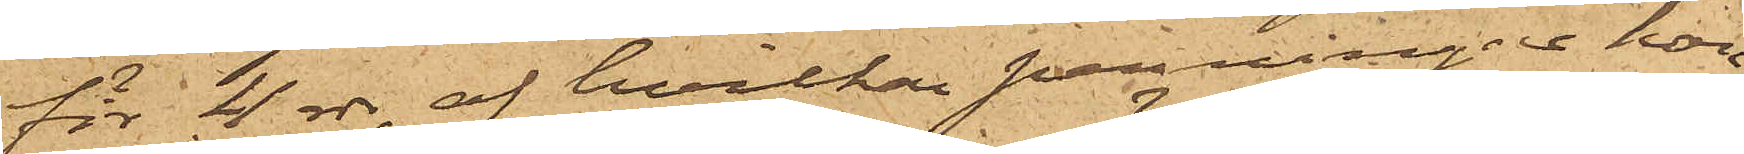för 4 rdr, af hvilka penningar hon
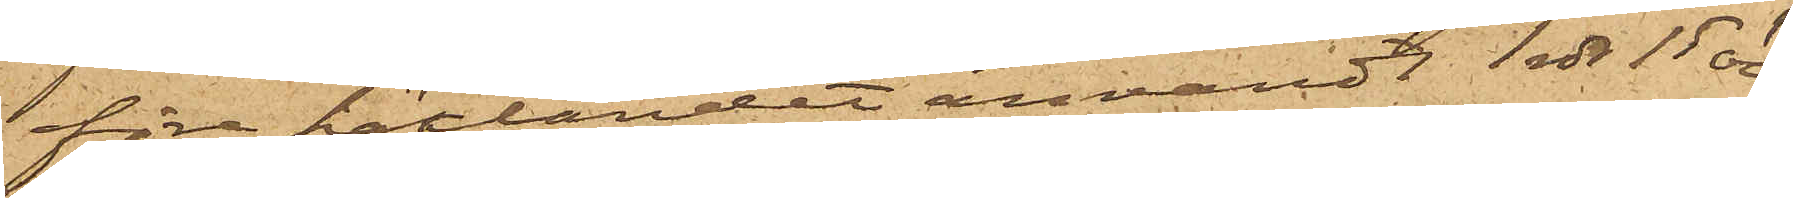före häktandet användt 1 rdr 15 öre;
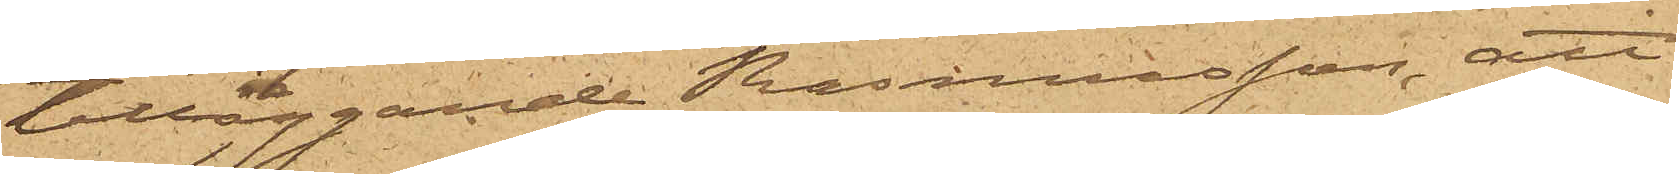tilläggande Rasmusson, att
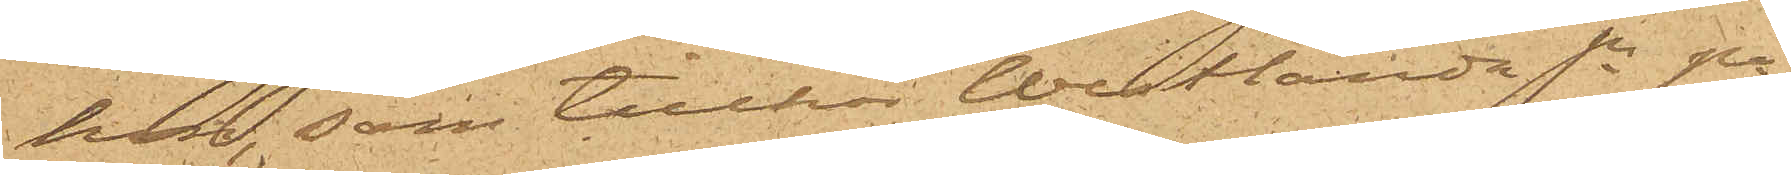hon, som tillhör Westlanda Sn på
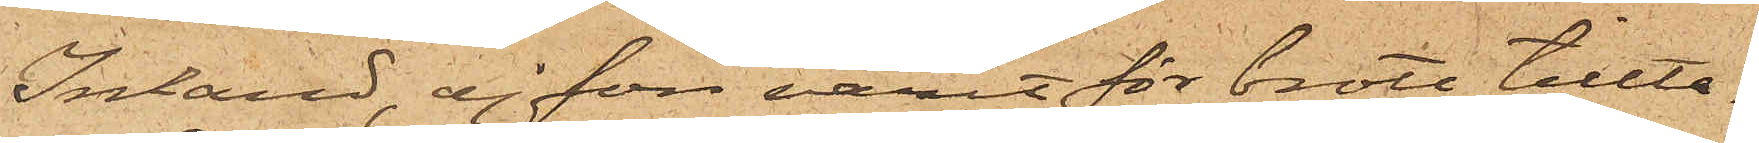Inland, ej förr varit för brott tillta¬
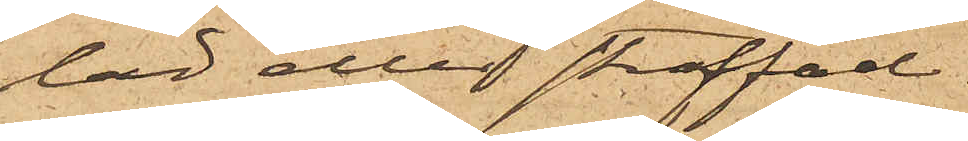lad eller straffad.
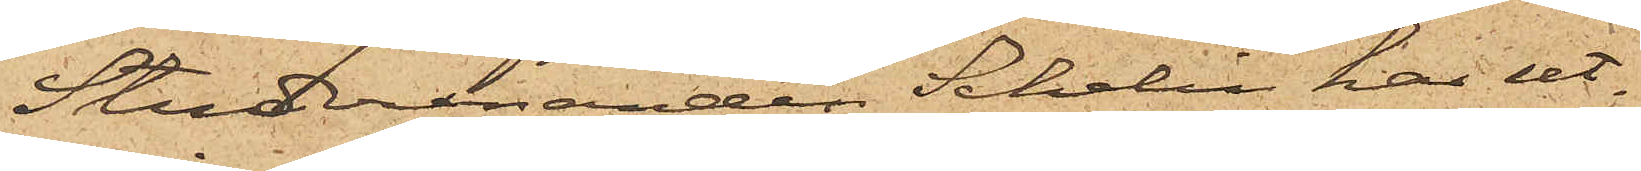Studeranden Schelin har ut¬
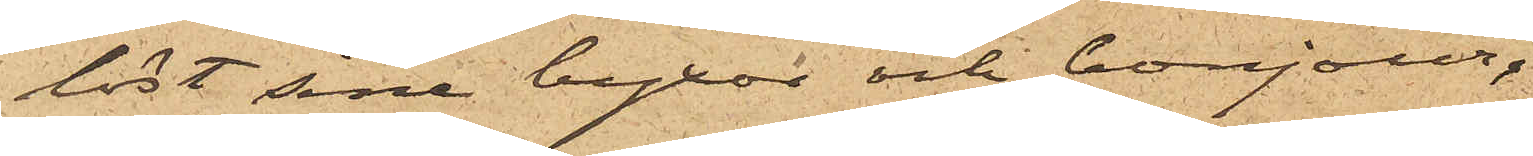löst sina byxor och bonjour.
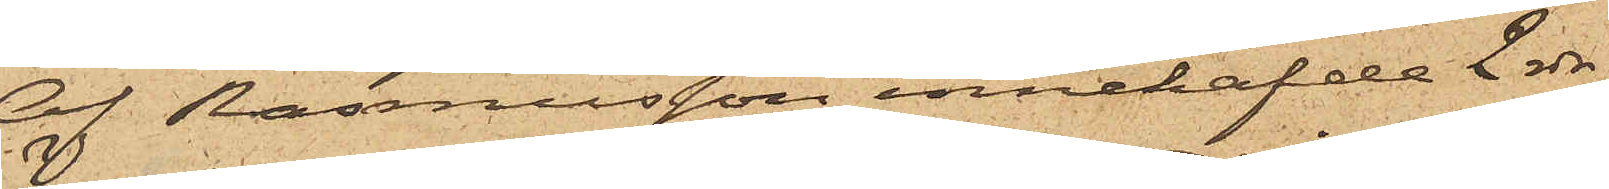Af Rasmusson innehafde 2 rdr
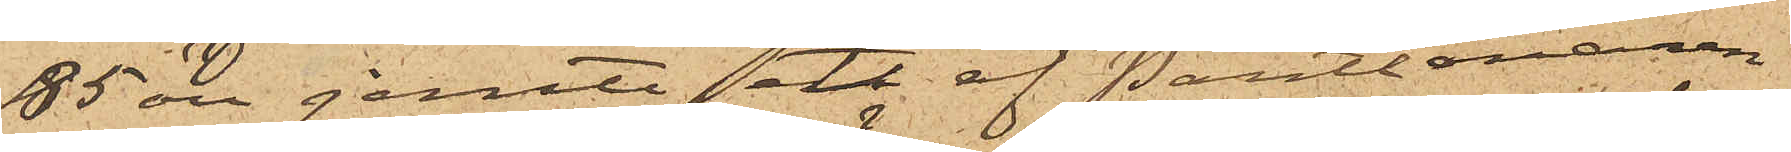85 öre jemte ett af Pantlånaren
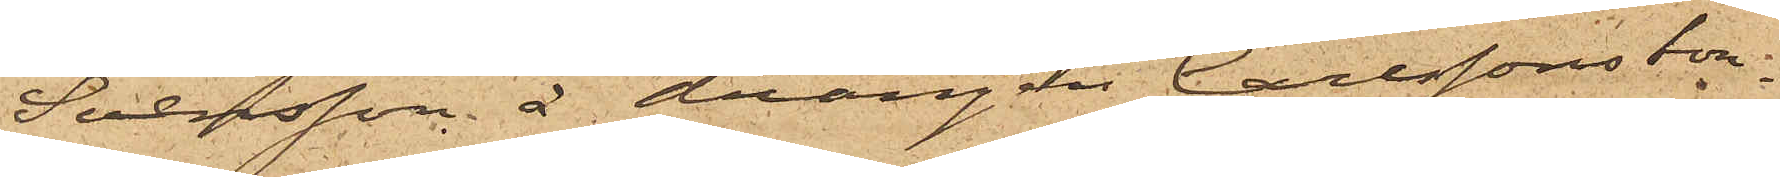Svensson å drängen Carlssons bon¬
